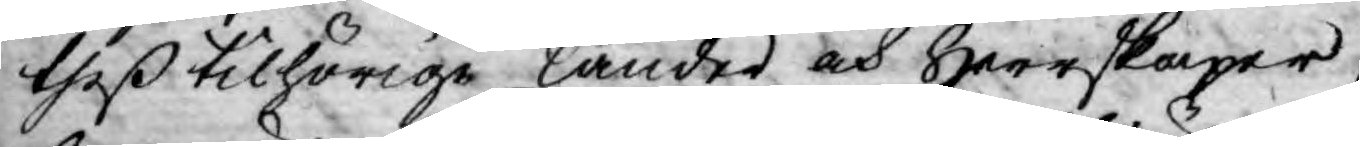theß tilhörige länder och Herrskaper,
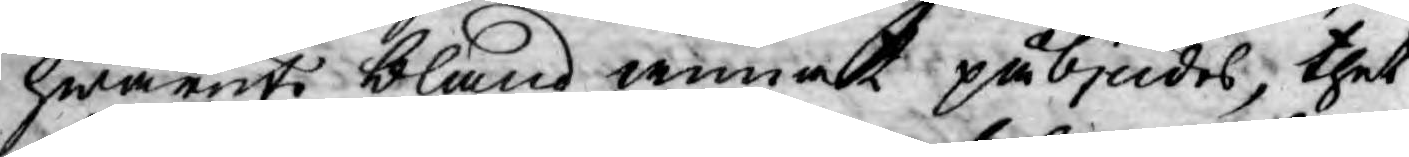hwaruti bland annat påbjudes, thet
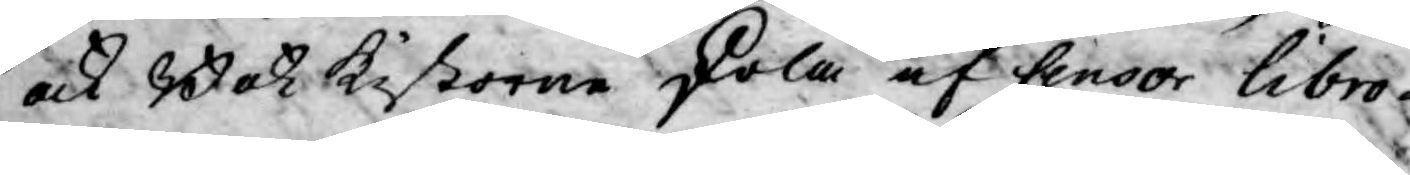ock Bok kistorne skola af Censor Libro¬
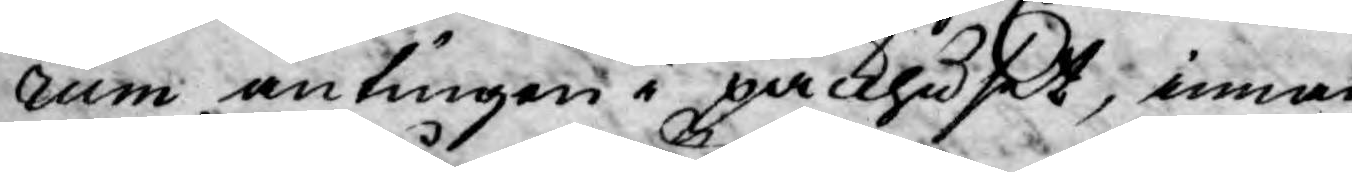rum antingen i packhuset, innan
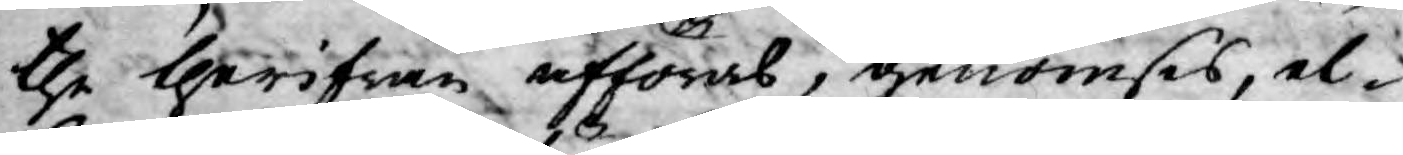the therifrån afföras, genomses, el¬
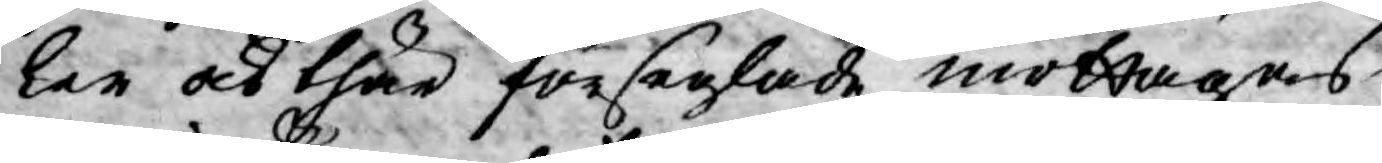ler och thär förseglade mottagas
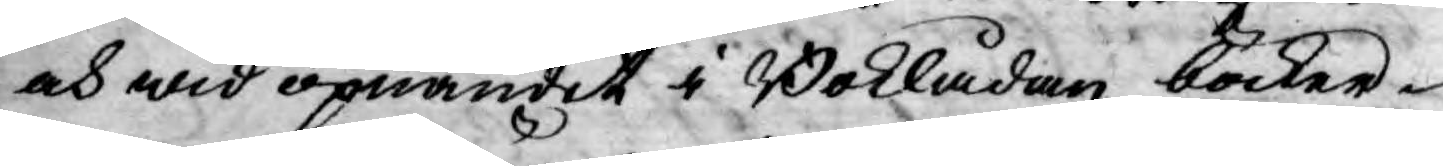och wid öpnandet i Boklådan böcker¬
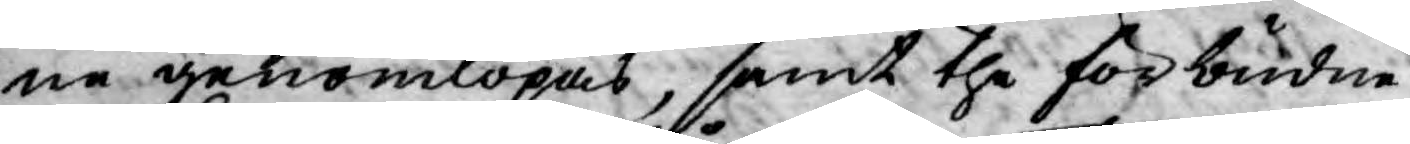ne genomlöpas, samt the förbudne
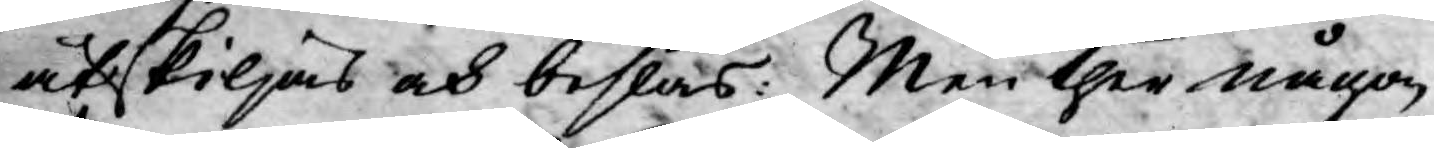åtskiljas och beslås: Men ther någon
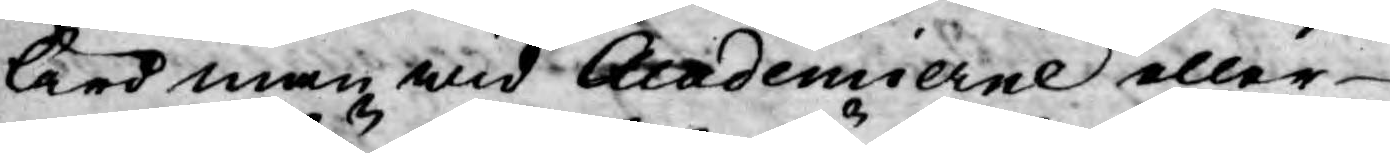lärd man wid Academierne eller
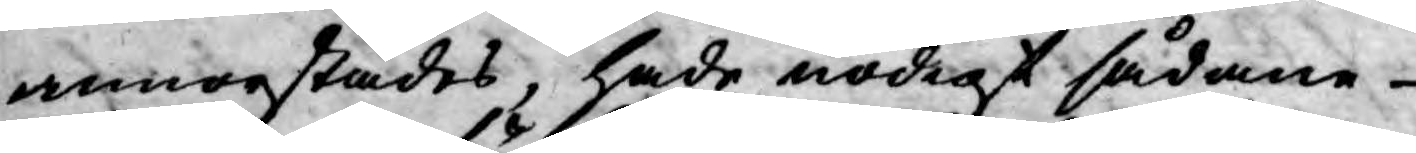annorstädes, hade nödigt sådane
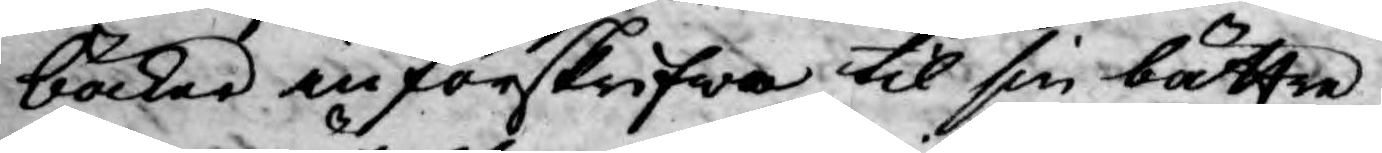böcker införskrifwa til sin bättre
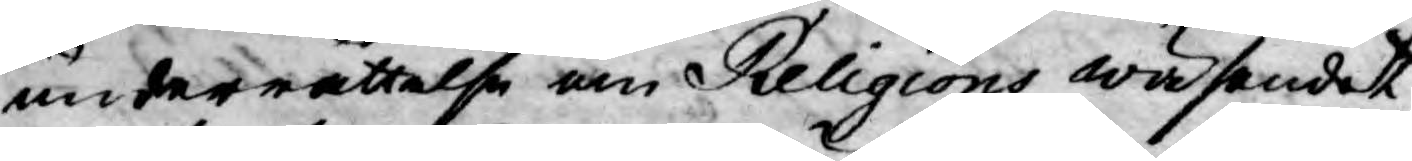underrättelse om Religions wäsendet
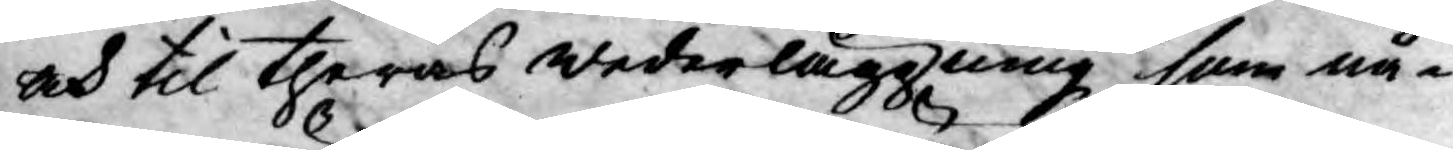och til theras wederläggning som nå¬
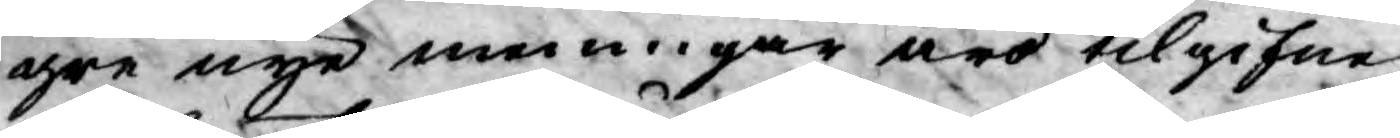gre nye meniger äro tilgifne
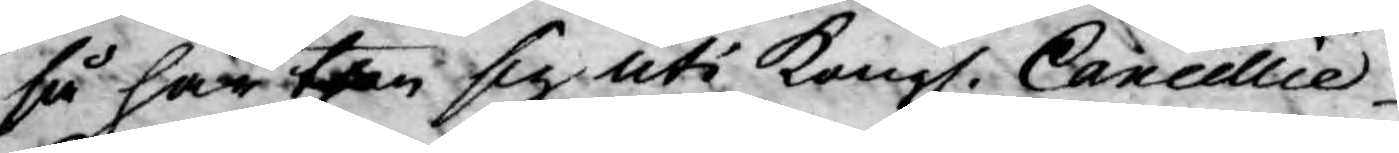så har then sig uti Kongl. Cancellie
